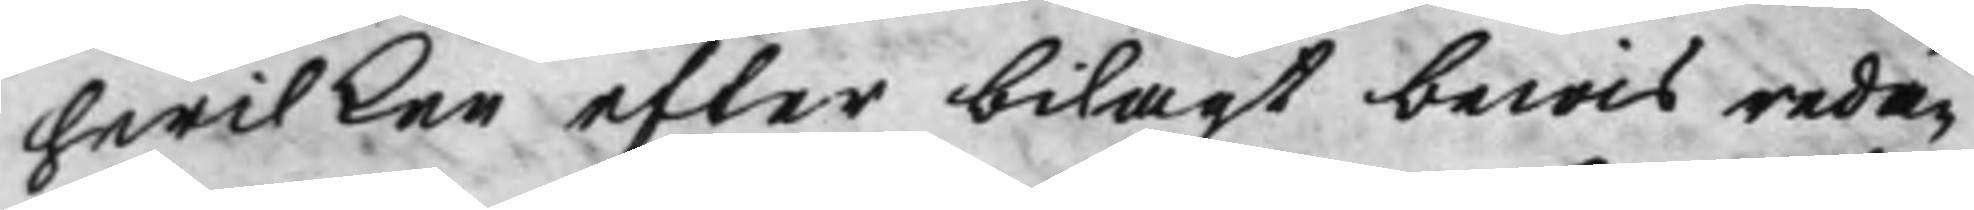hwilken efter bilagt bewis redan
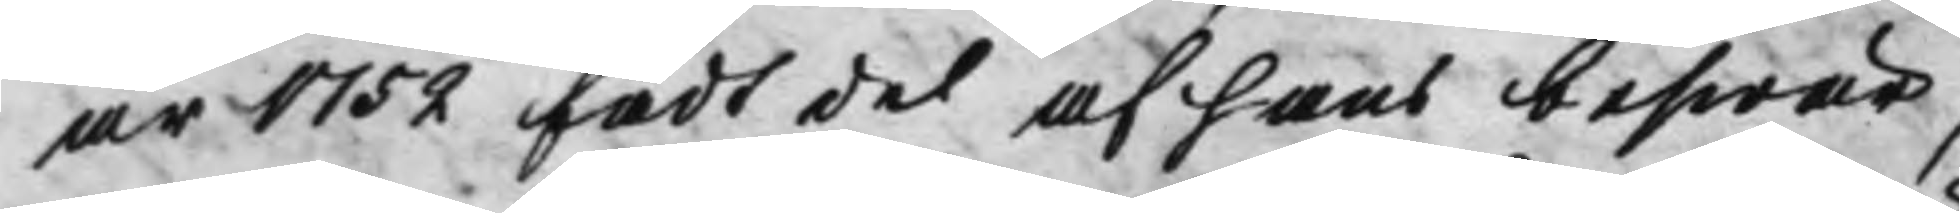år 1752 fådt del af hans beswär
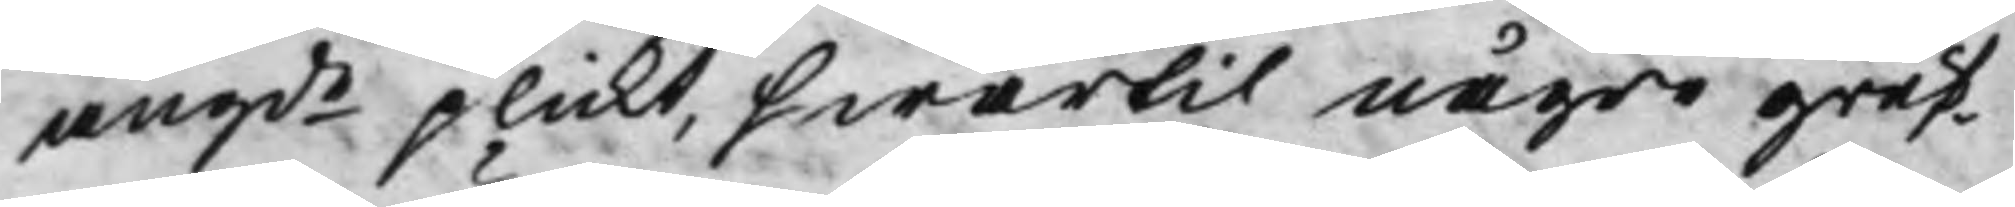angde plickt, hwartil några gruf¬ 
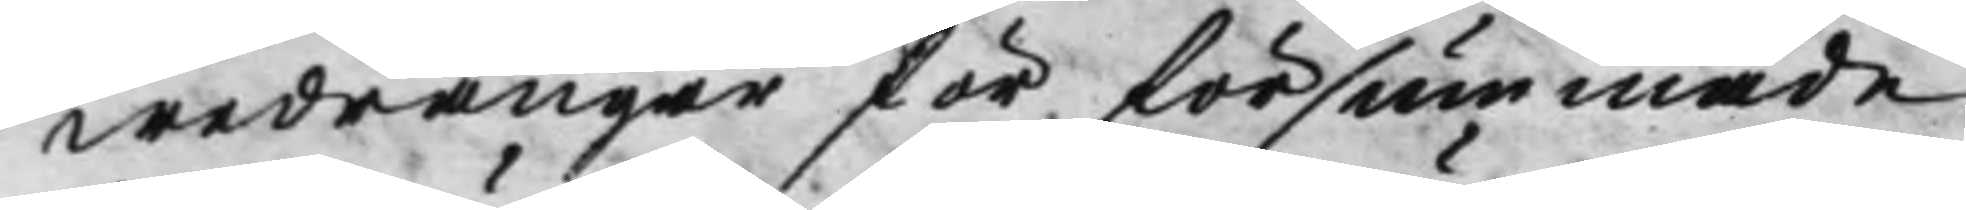wedrängar för försummade
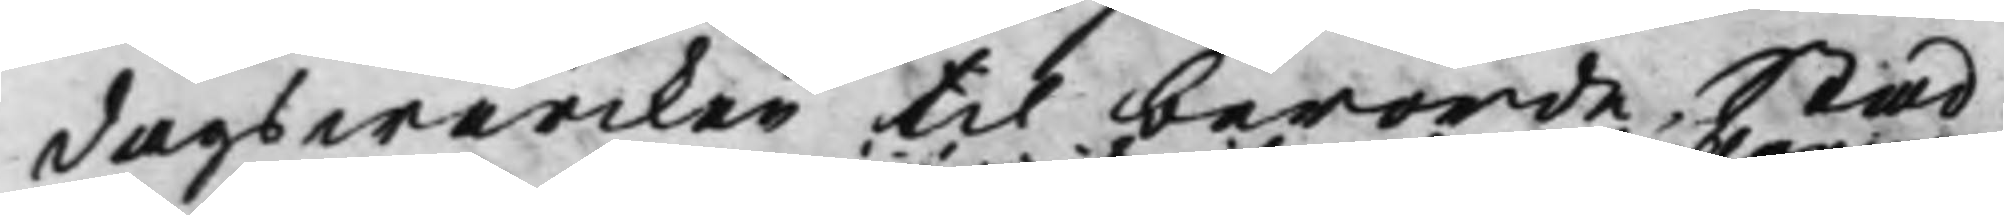dagswärcken til berörde Stad
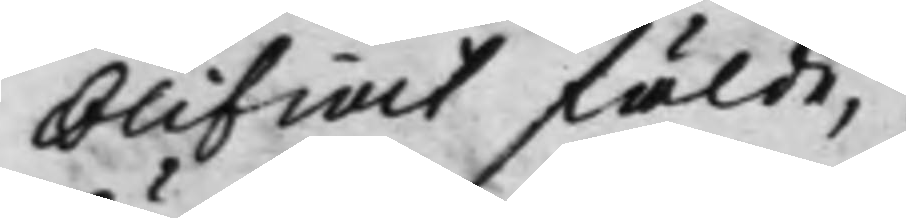blifwit fälde,
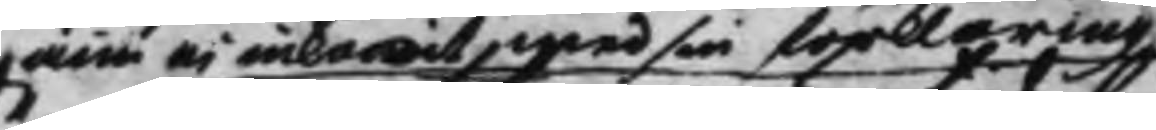ännu ej inkommit med sin förklaring
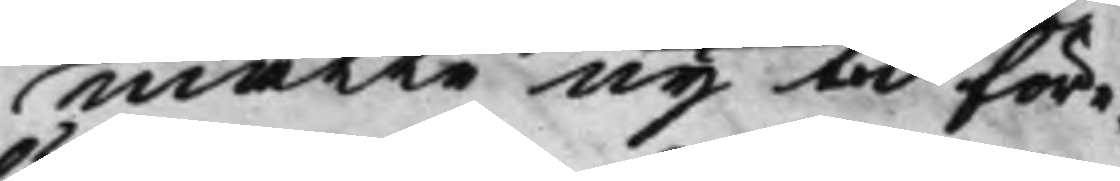måtte ny tid före¬
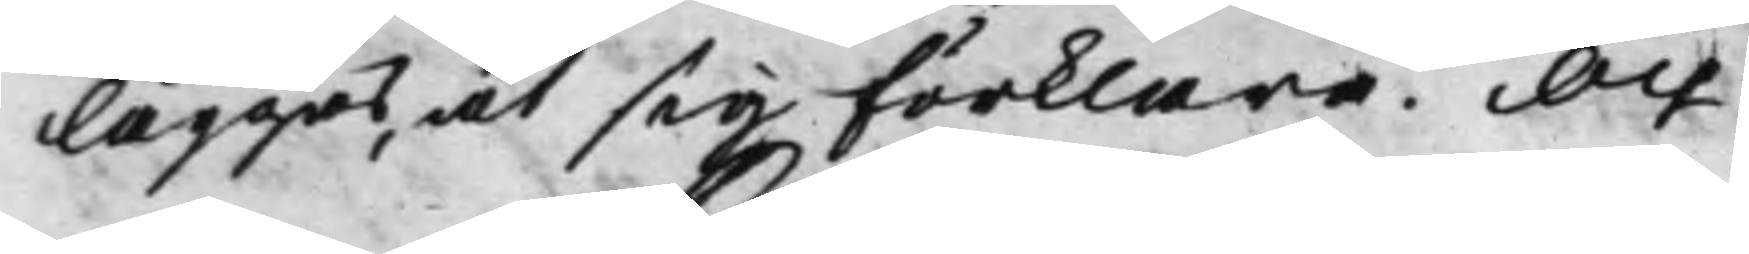läggas, at sig förklara. Och
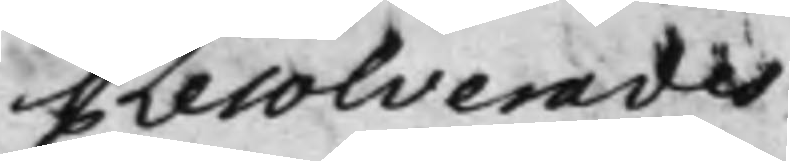Resolverades
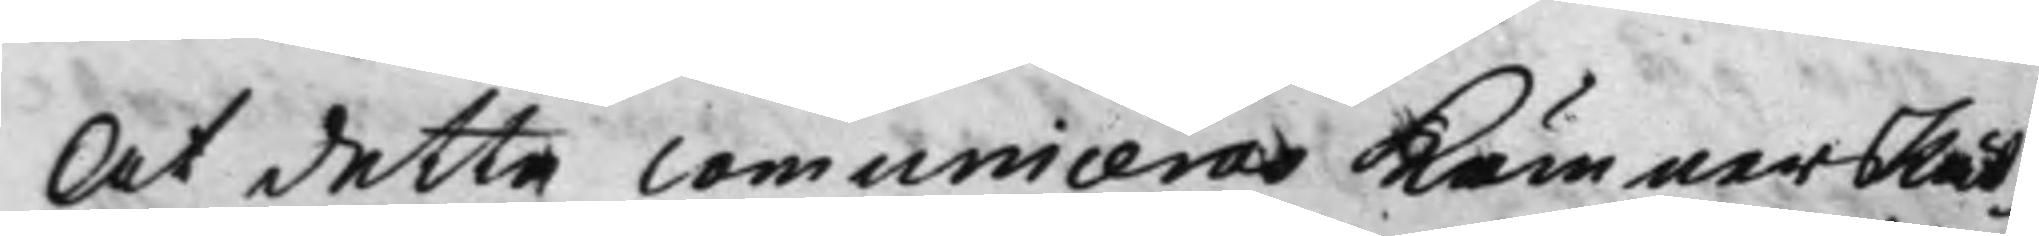At detta Comuniceras KämnersRät¬
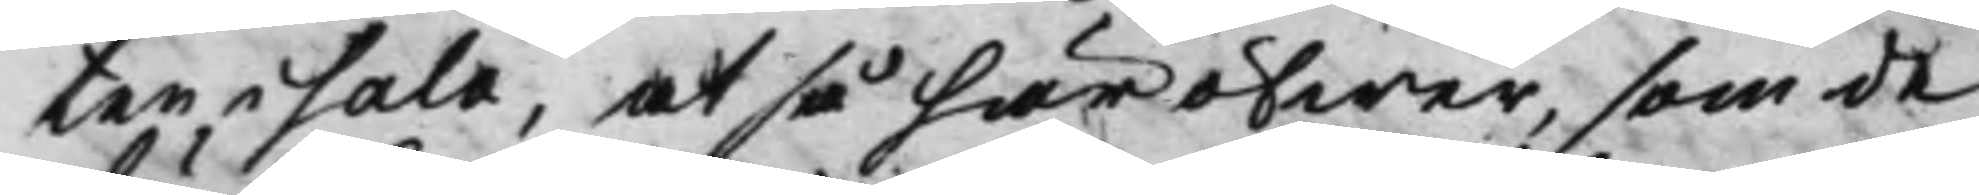ten i Sala, at så häröfwer, som de
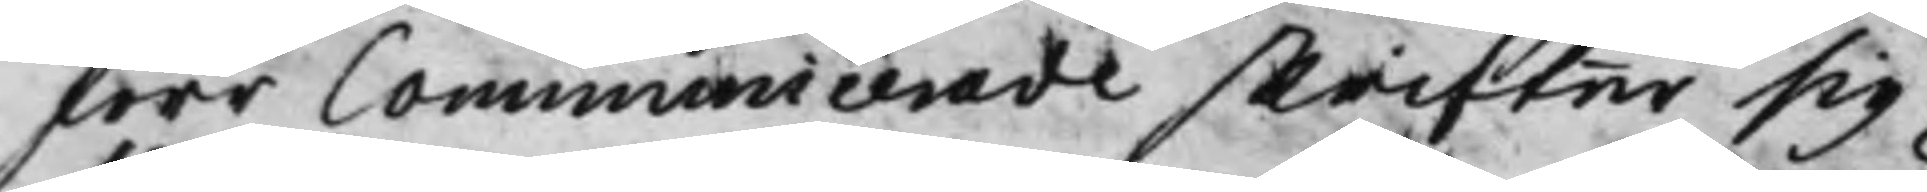förr Communicerade skrifter sig
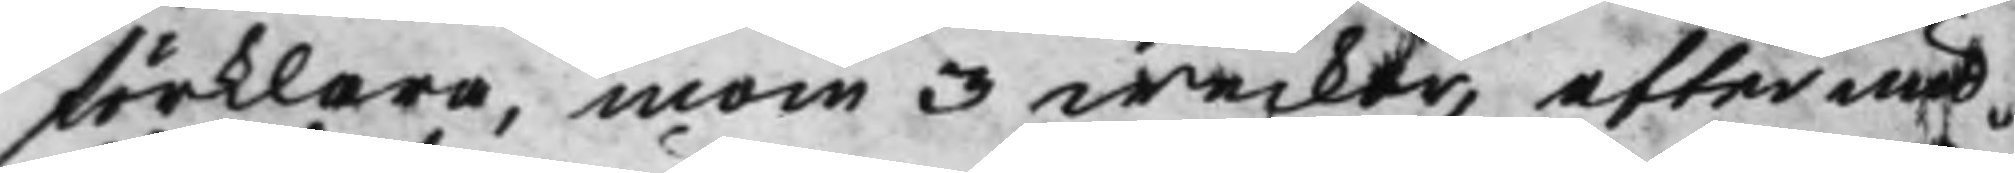förklara, inom 3 weckor, efter und¬
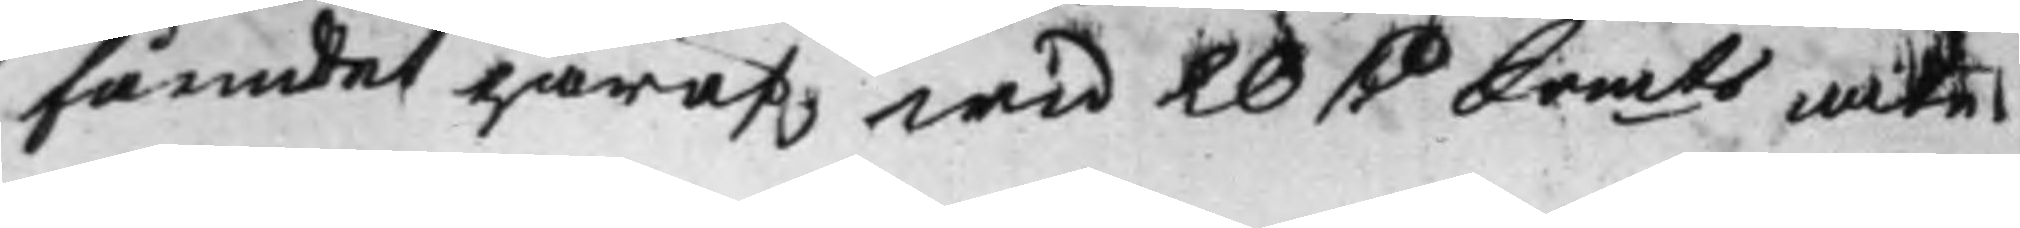fåendet häraf wid 20 D Srmts wite. 
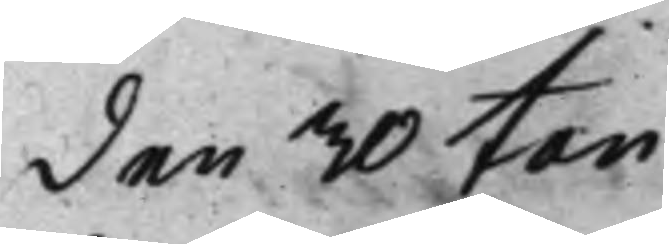den 30 Jan. 
